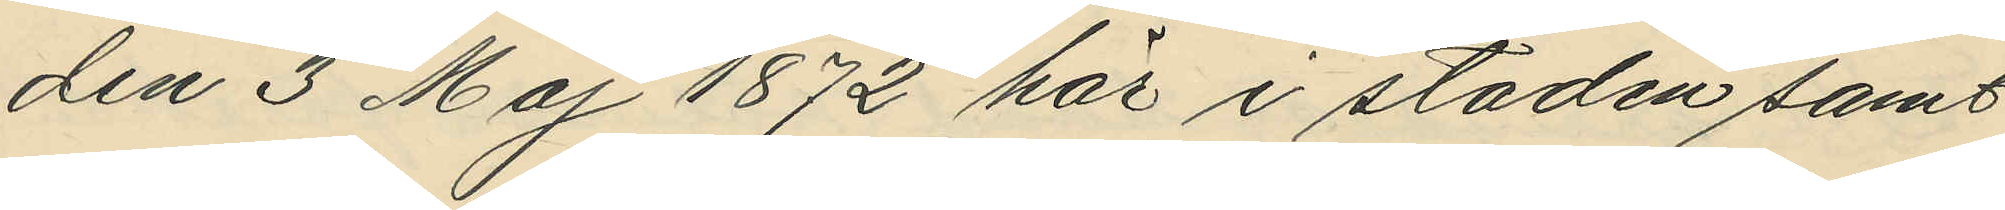den 3 Maj 1872 här i staden samt
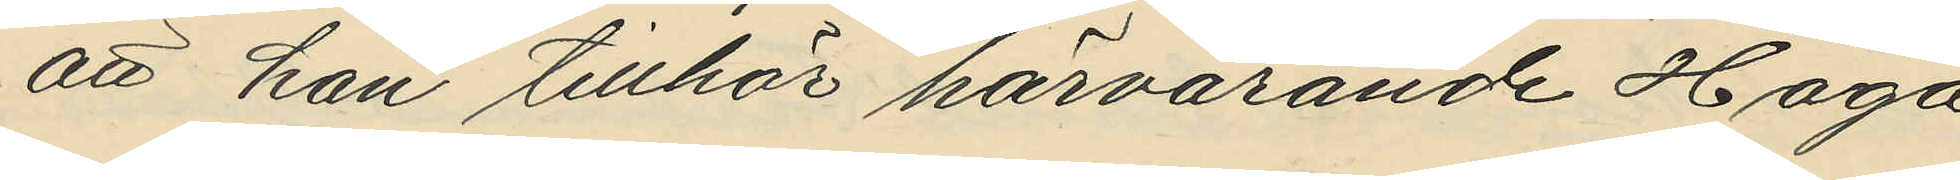att han tillhör härvarande Haga
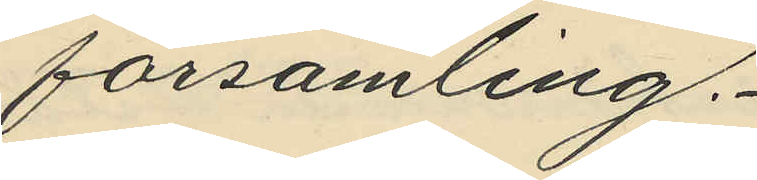församling.
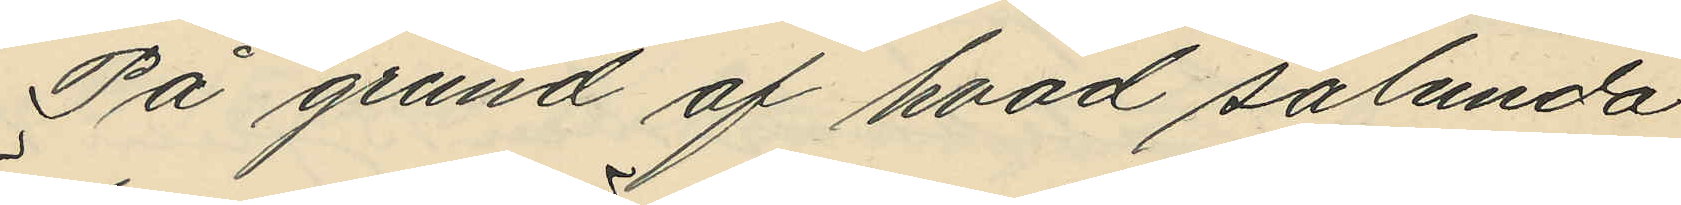På grund af hvad sålunda
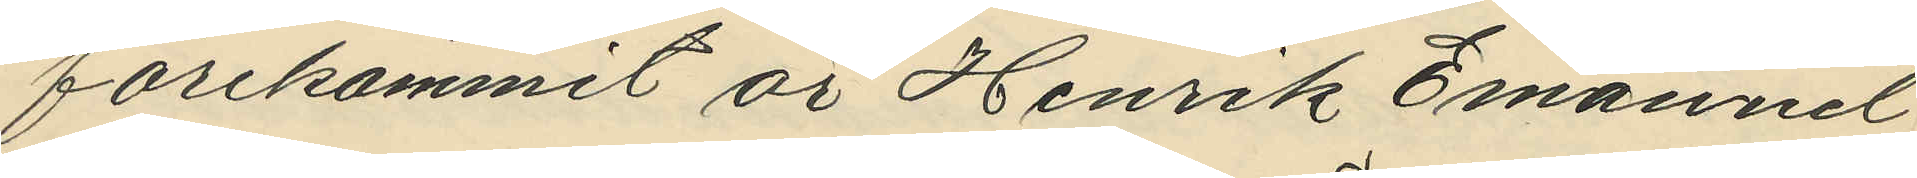förekommit är Henrik Emanuel
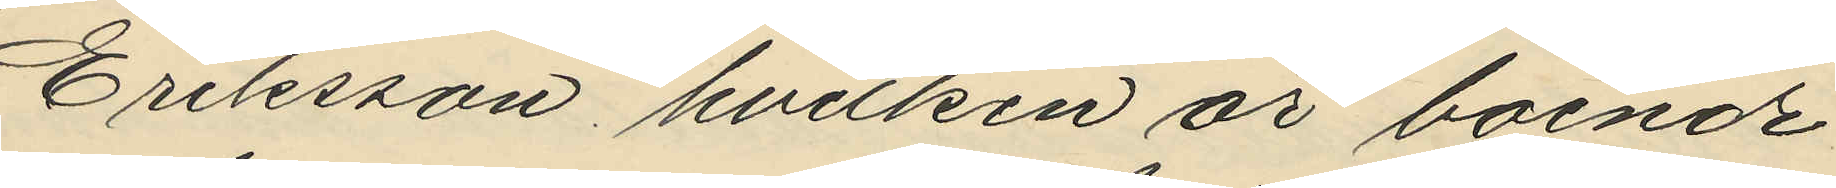Eriksson hvilken är boende
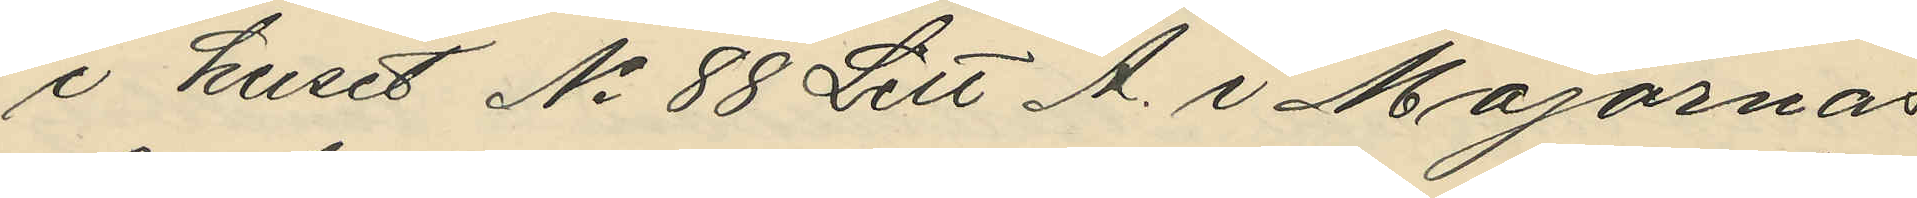i huset No 88 Litt A. i Majornas
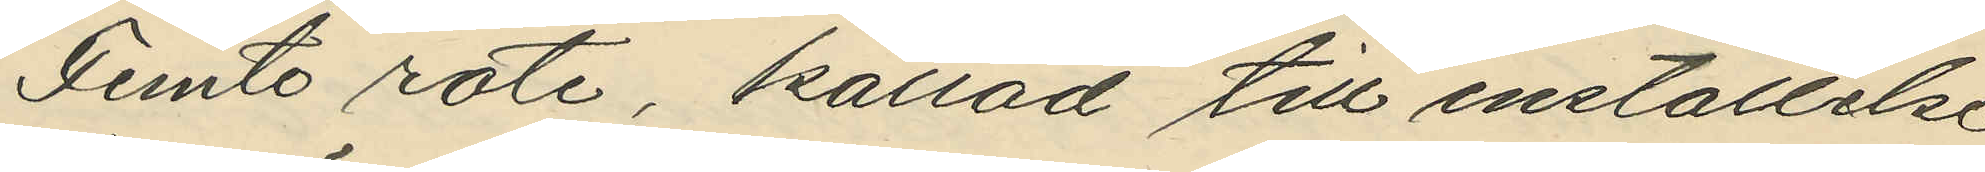Femte rote, kallad till inställelse
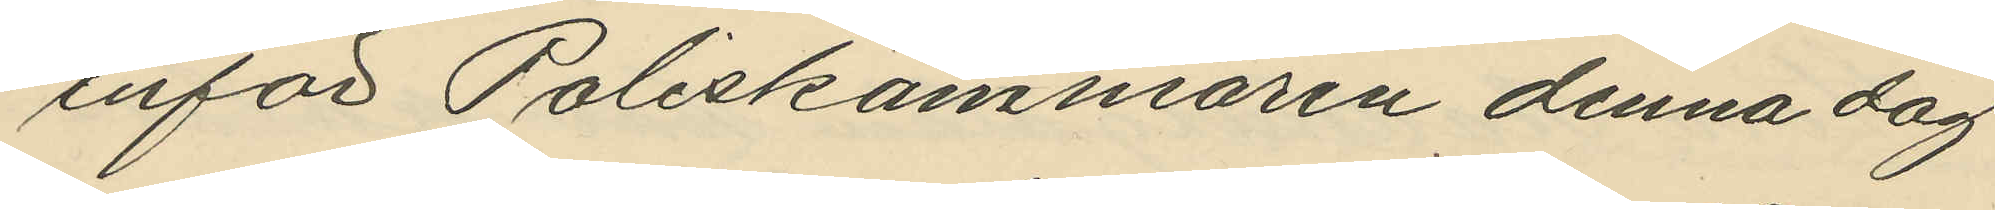inför Poliskammaren denna dag
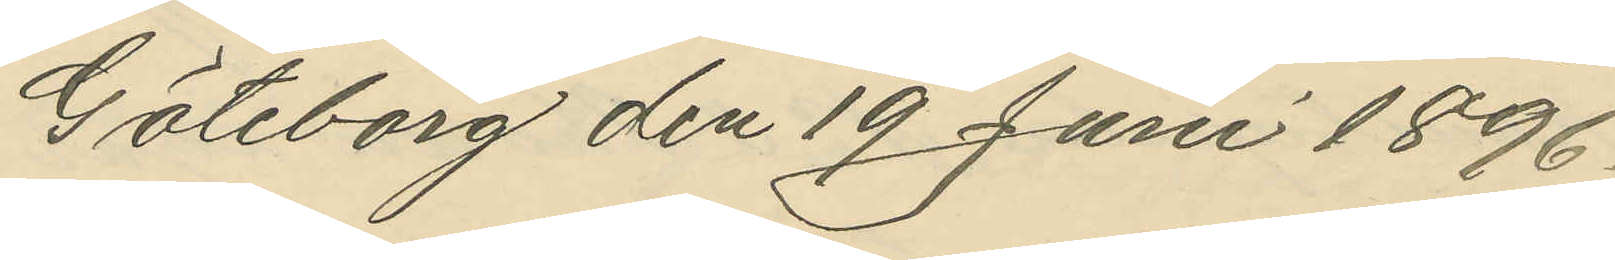Göteborg den 19 Juni 1896.
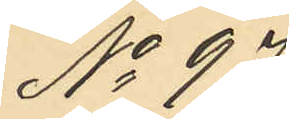No 97.
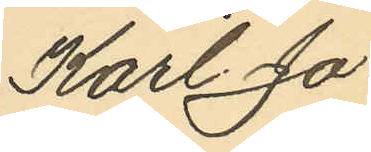Karl Jo¬
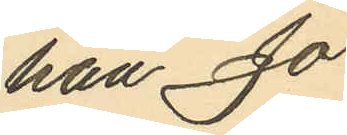han Jo¬
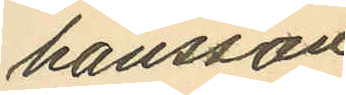hansson
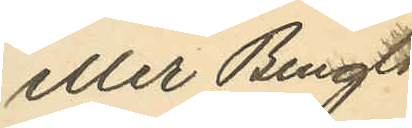eller Bengts¬
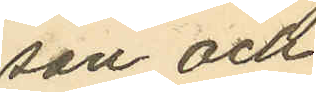son och
